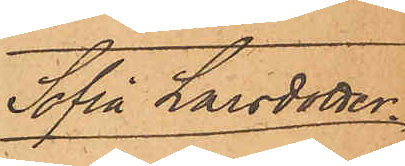Sofia Larsdotter
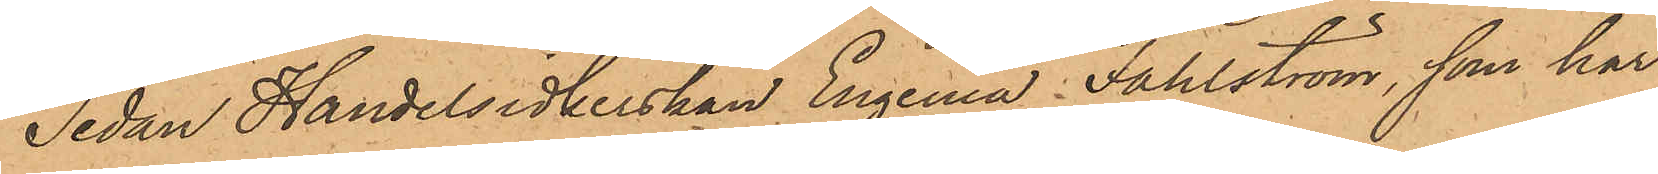Sedan Handelsidkerskan Engenia Fahlström, som har
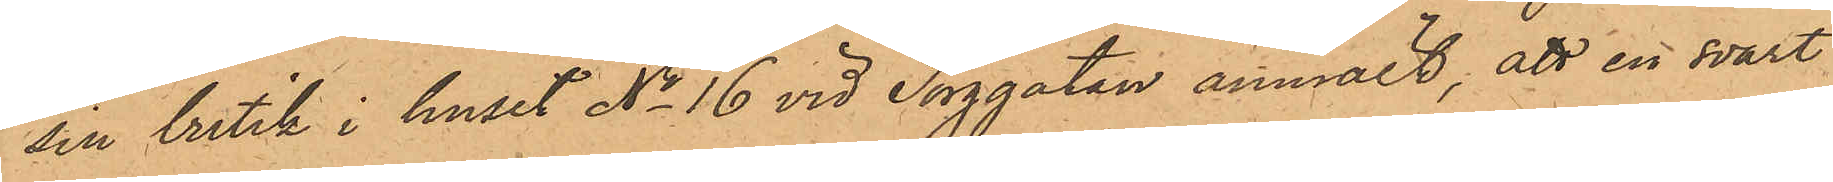sin butik i huset No 16 vid Torggatan anmält, att en svart
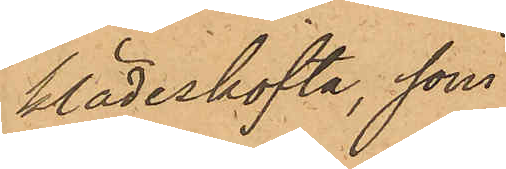klädeskofta, som
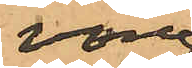vore
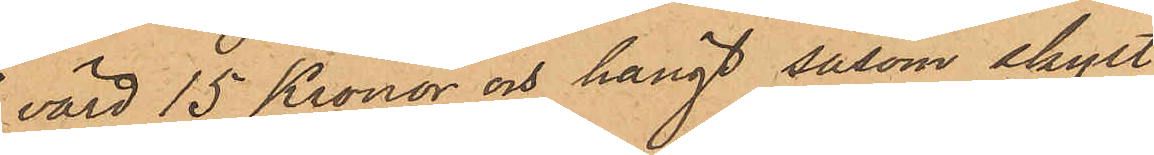värd 15 Kronor och hängt såsom skylt
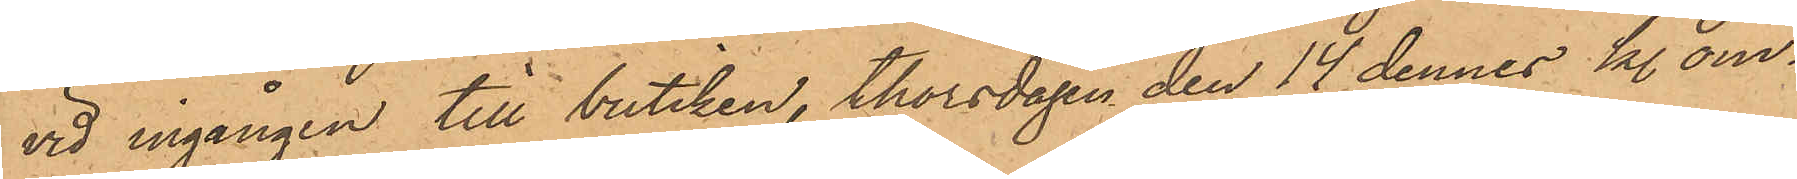vid ingången till butiken, thorsdagen den 14 dennes kl. om¬
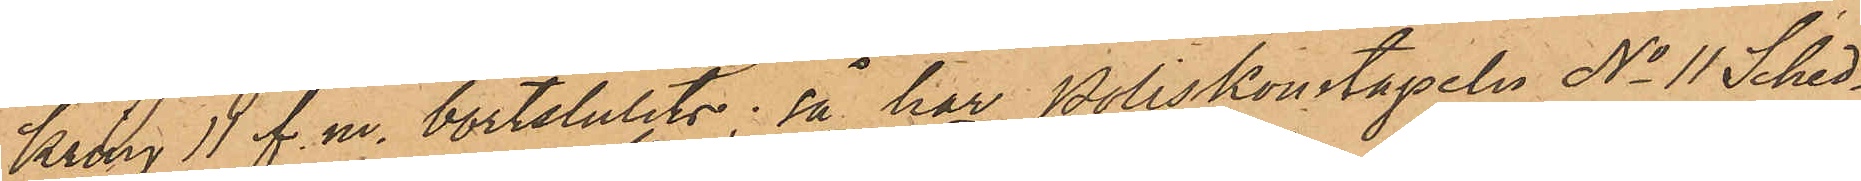kring 11 f. m. bortstulits i så har Poliskonstapeln No 11 Sched¬
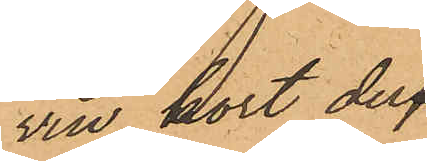vin kort der¬
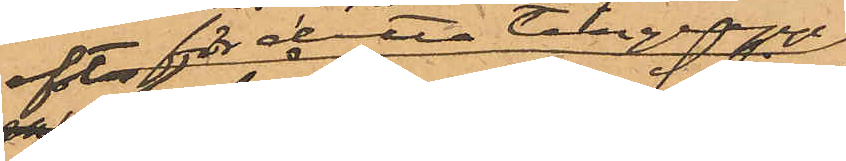efter för detta tillgrepp
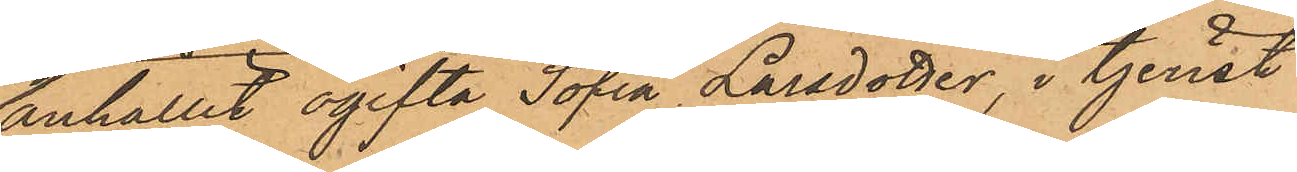anhållit ogifta Sofia Larsdotter, i tjenst
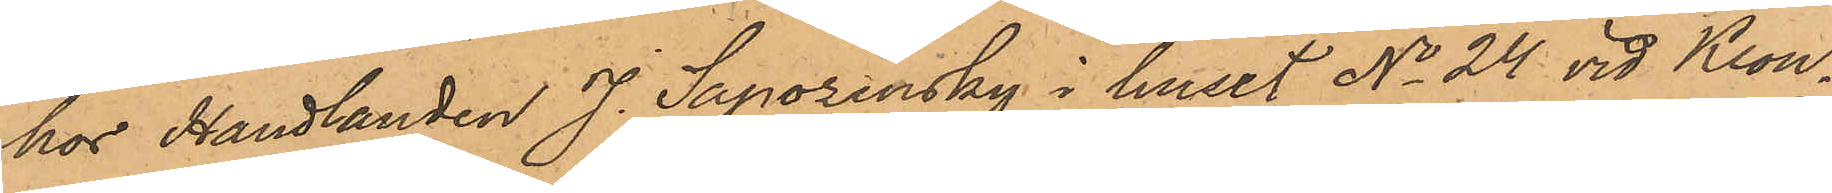hos Handlanden J. Saporinsky i huset No 24 vid Kron¬
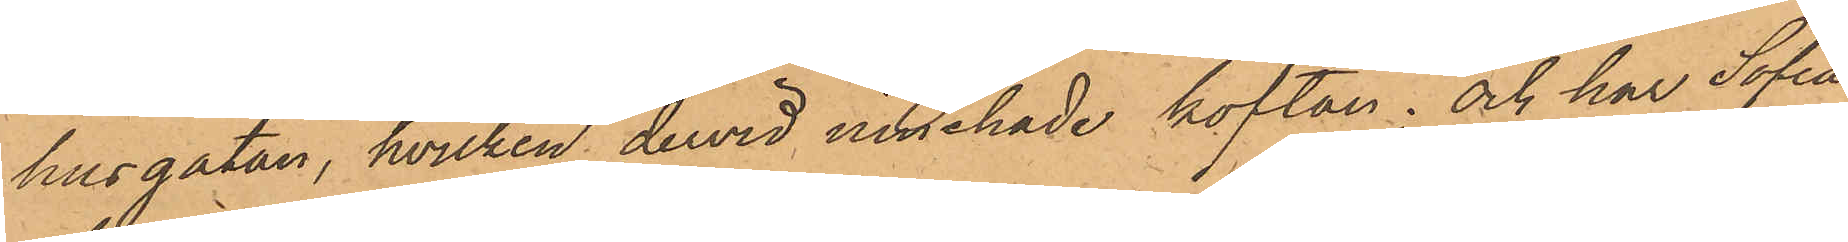husgatan, hvilken dervid innehade koftan; och har Sofia
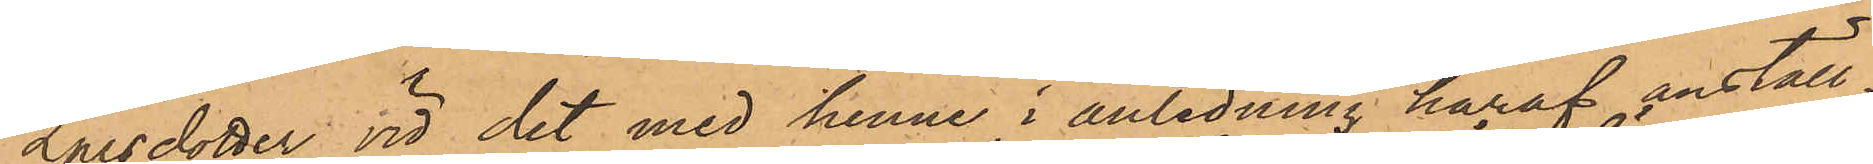Larsdotter vid det med henne i anledning häraf anställ¬
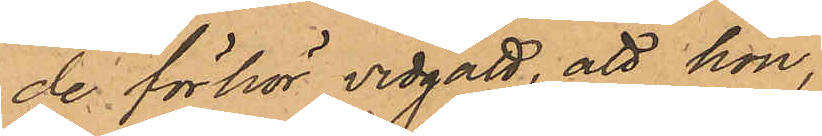de förhör vidgått, att hon,
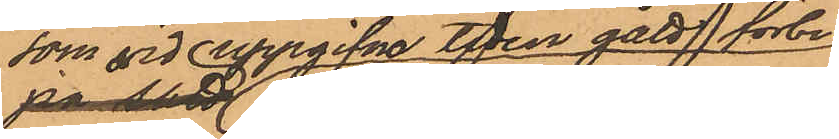som vid uppgifna tiden gått förbi
